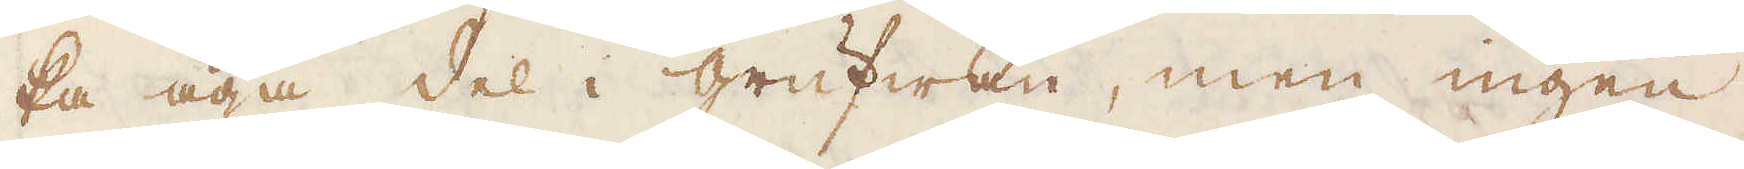ka äga del i grufwan, men ingen
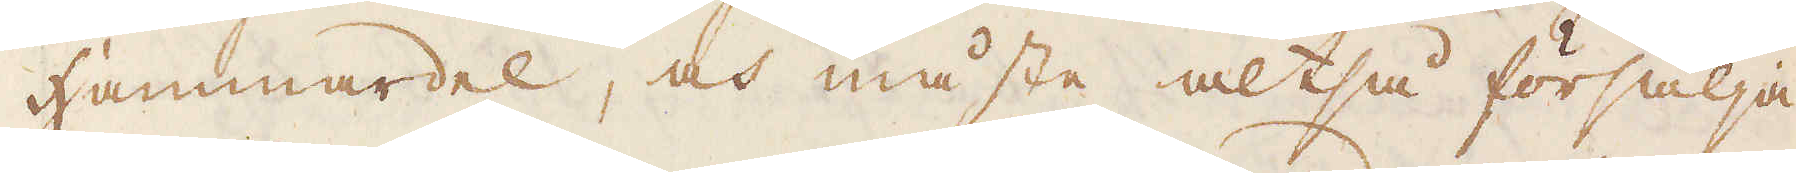Hammardel, och måste altså försälja
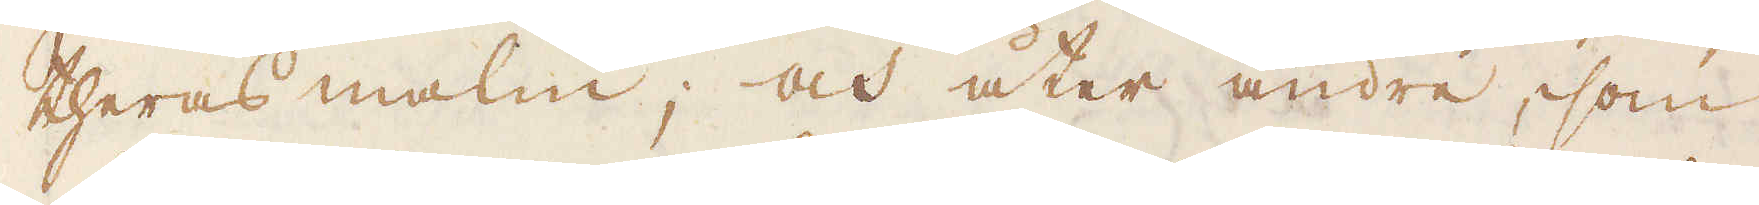theras malm, och åter andre, som
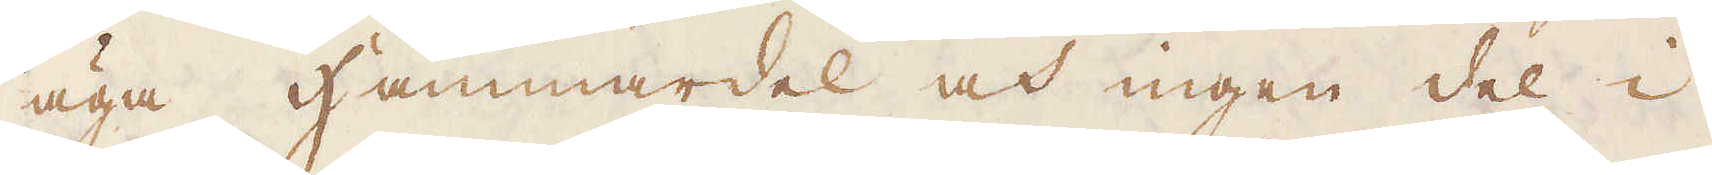äga Hammardel och ingen del i
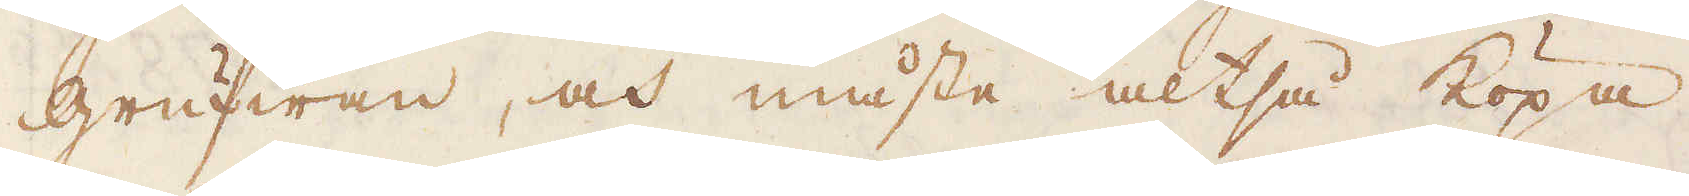grufwan, och måste altså köpa
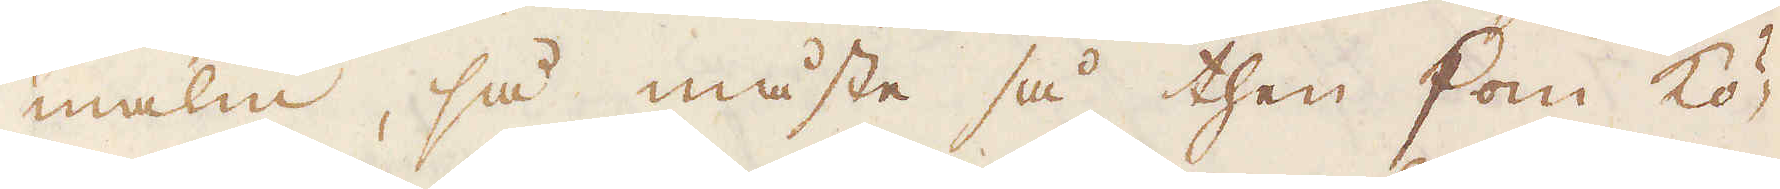malm, så måste så then som kö-
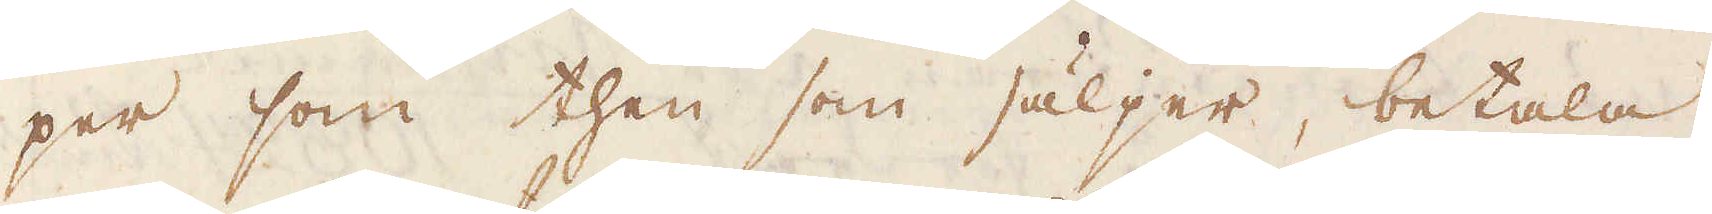per som then som säljer, betala
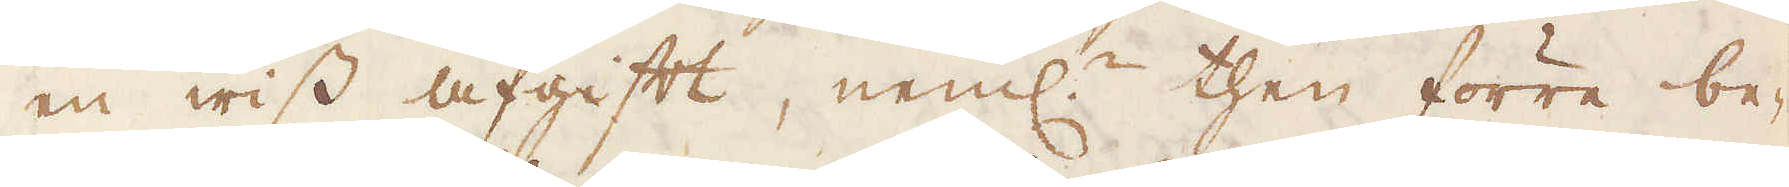en wiss afgift, neml:n then förre be-
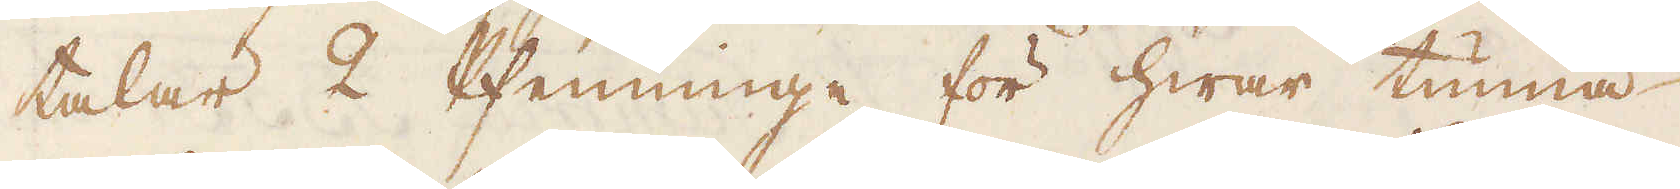talar 2 Phenninge för hwar tunna
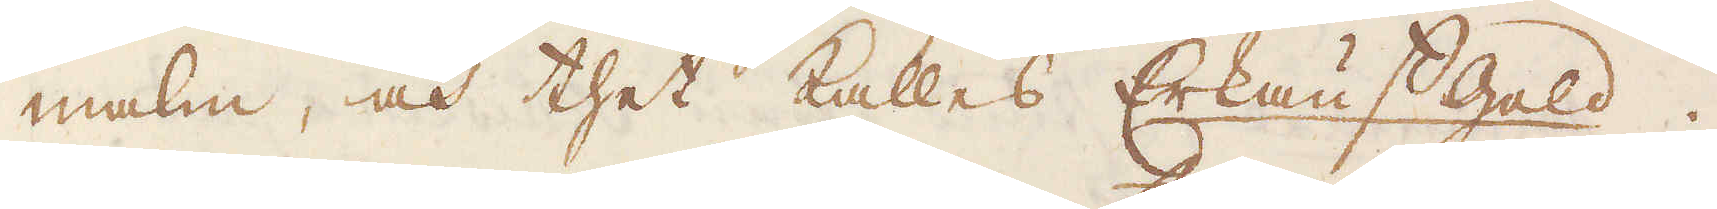malm, och thet kalles Erkänstgeld.
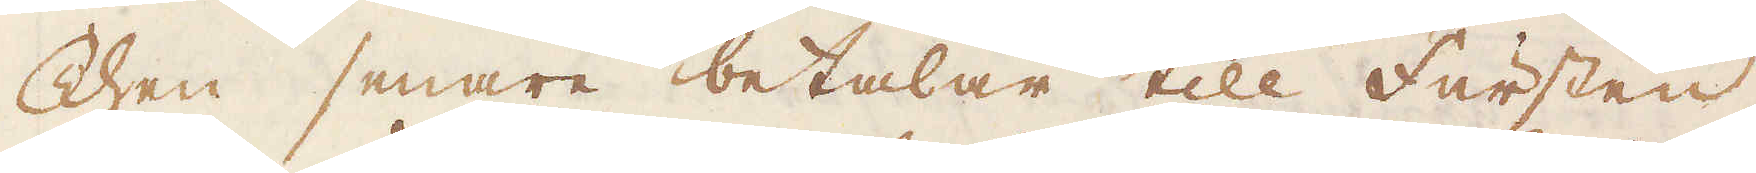Then senare betalar till fursten
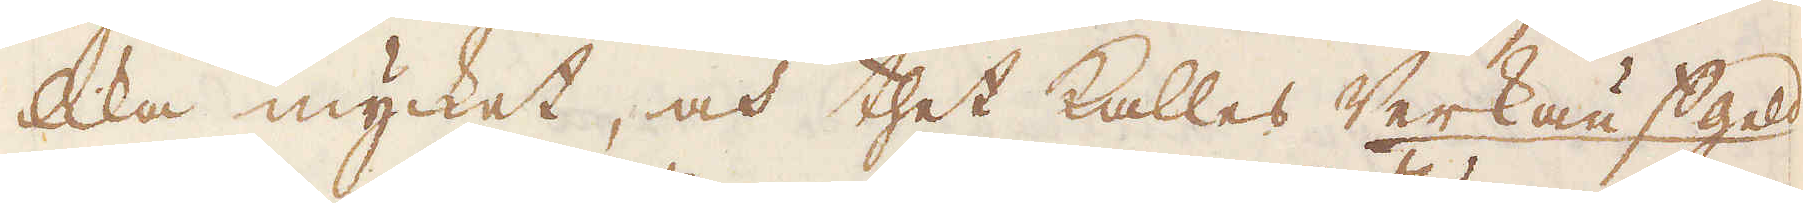lika mycket, och thet kallas Werkauffgeld.
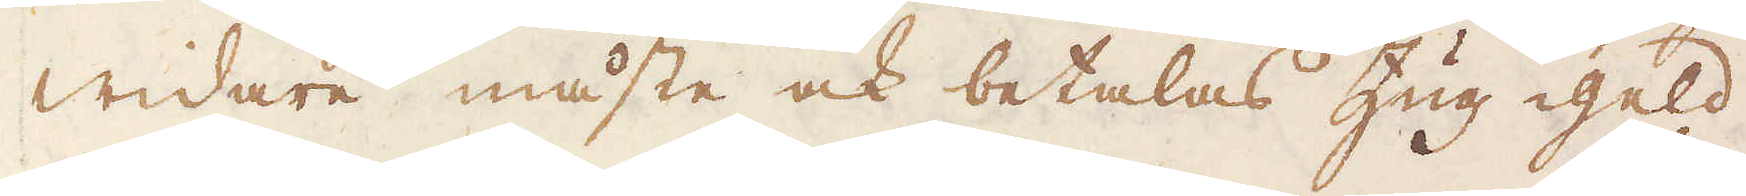Widare måste ock betalas Zugg geld
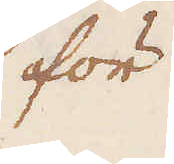för
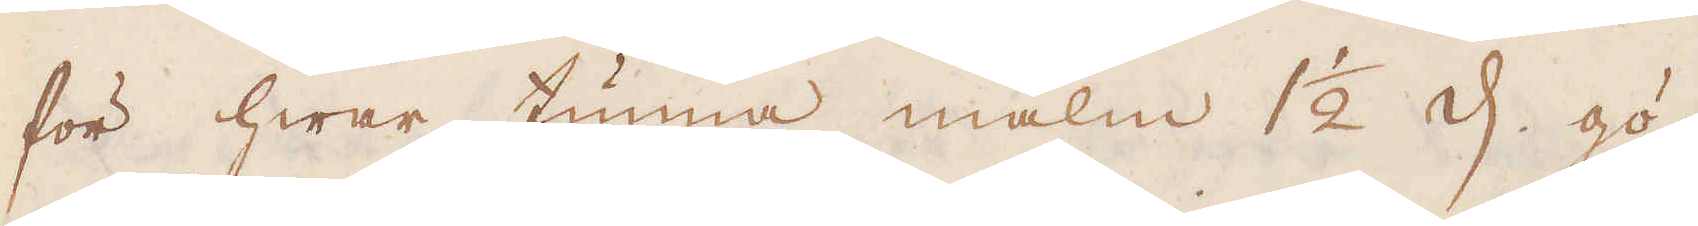för hwar tunna malm 1 1/2 d, gö-
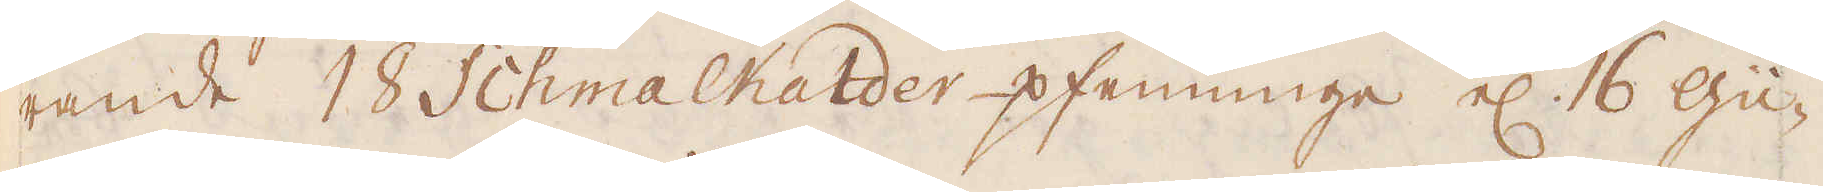rande 18 Schmalkalder pfenninge el: 16 Gu-
